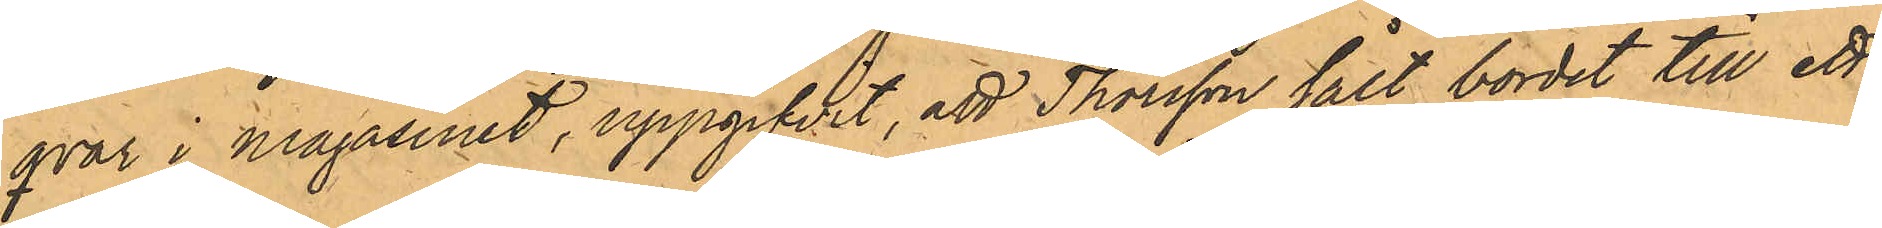qvar i Magasinet, uppgifvit, att Thorsson sålt bordet till ett
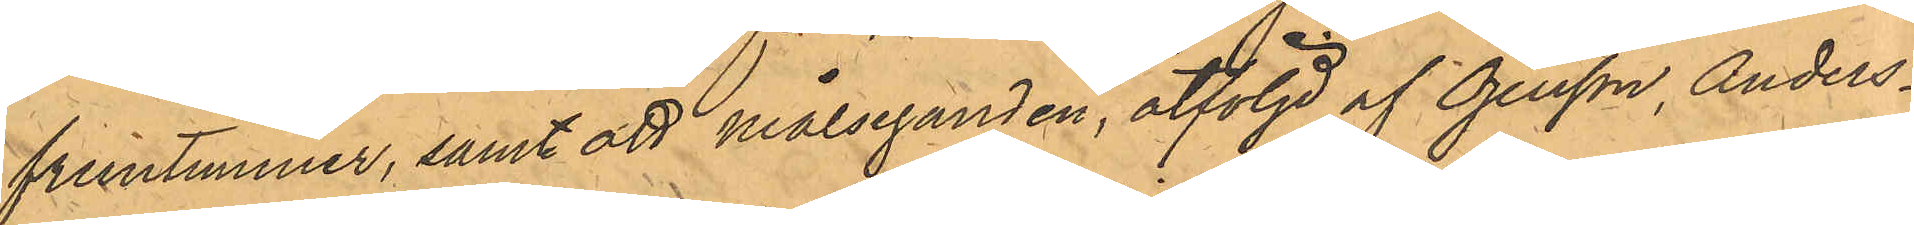fruntimmer, samt att målseganden, åtföljd af Öjersson, Anders¬
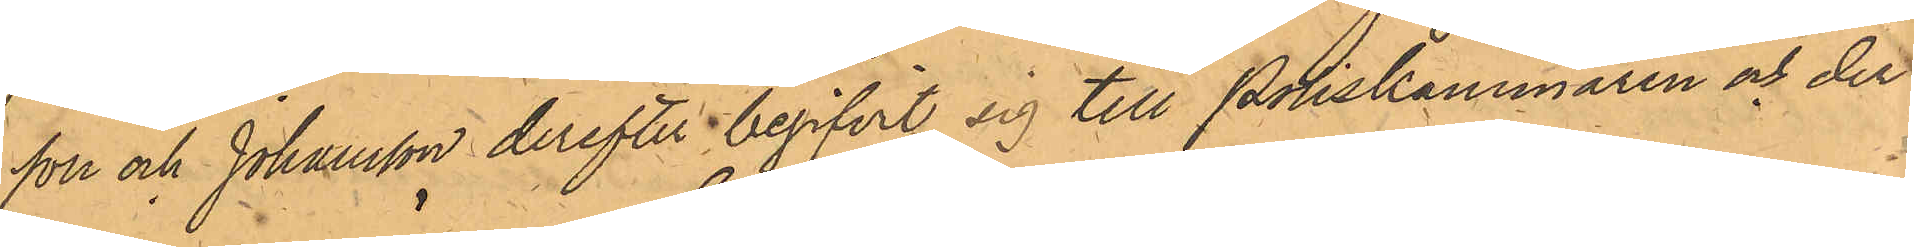son och Johansson derefter begifvit sig till Poliskammaren och der
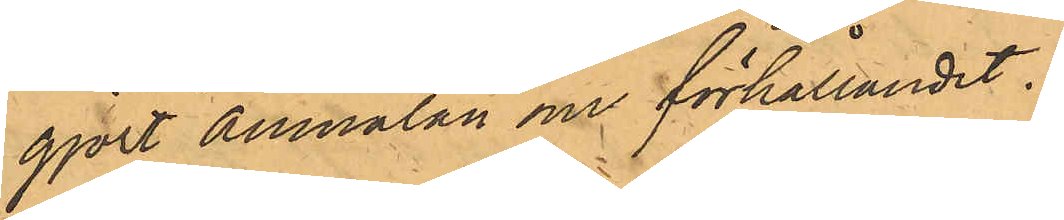gjort anmälan om förhållandet.
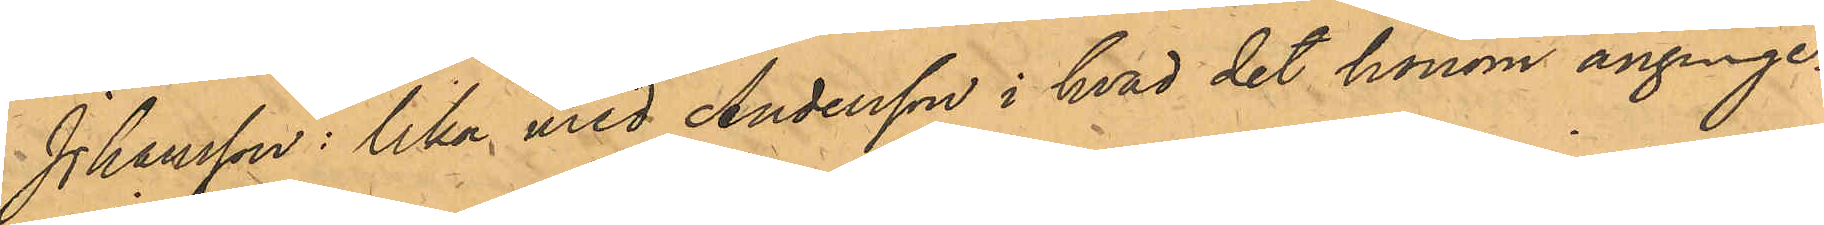Johansson: lika med Andersson i hvad det honom anginge.
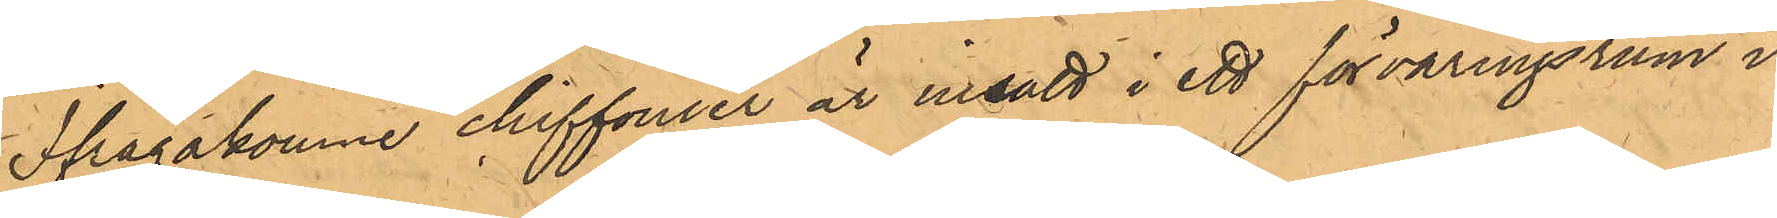Ifrågakomne chiffonier är insatt i ett förvaringsrum i
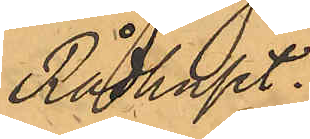Rådhuset.
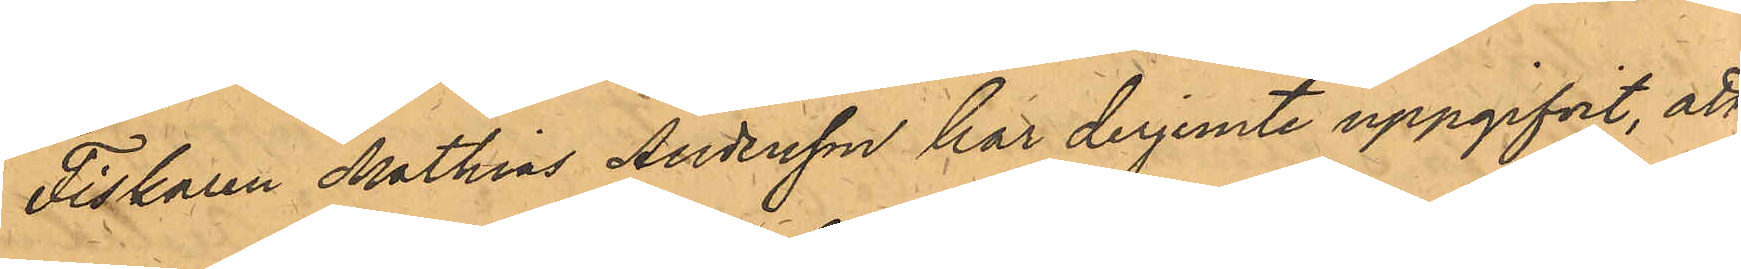Fiskaren Mathias Andersson har derjemte uppgifvit, att
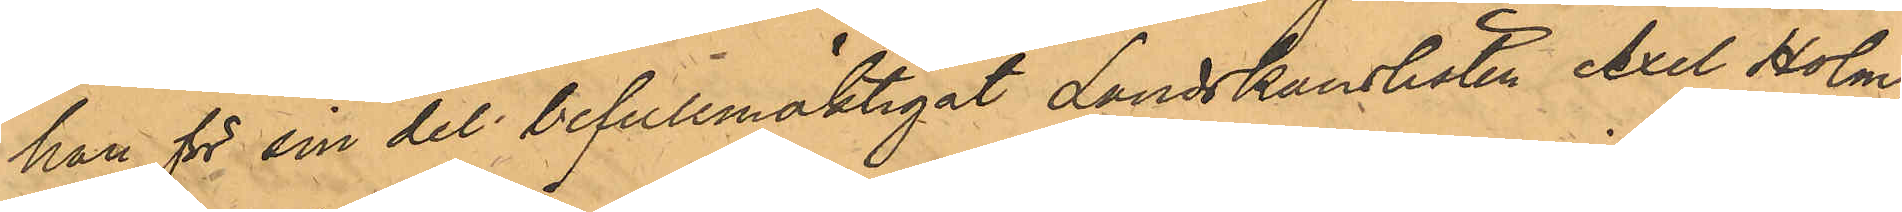han för sin del befullmäktigat Landskanslisten Axel Holm¬
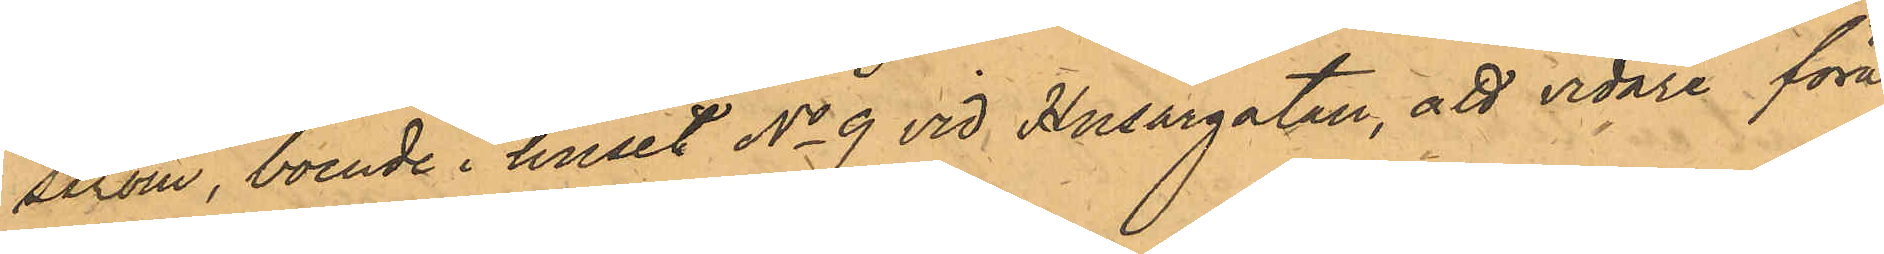ström, boende i huset No 9 vid Husargatan, att vidare föra
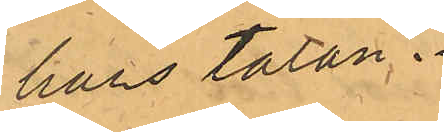hans talan.
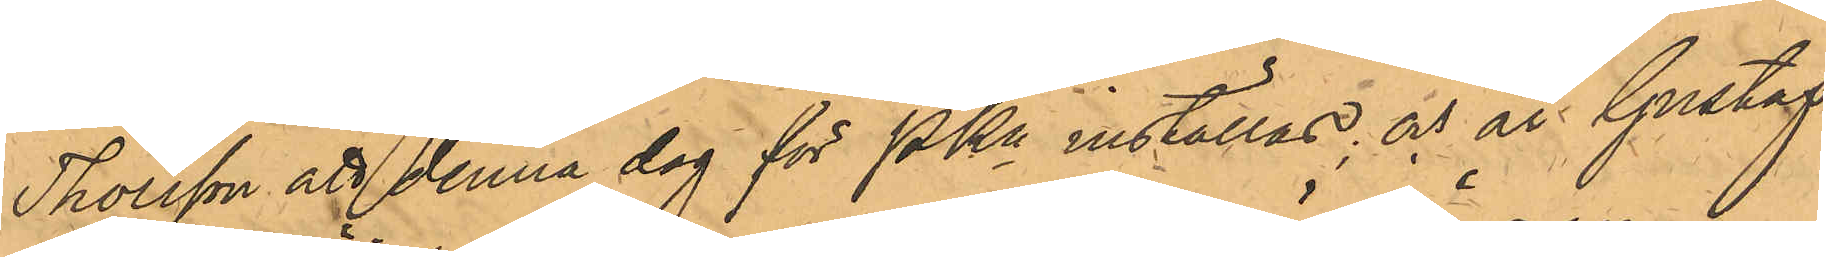Thorsson att denna dag för PKn inställas; och är Gustaf
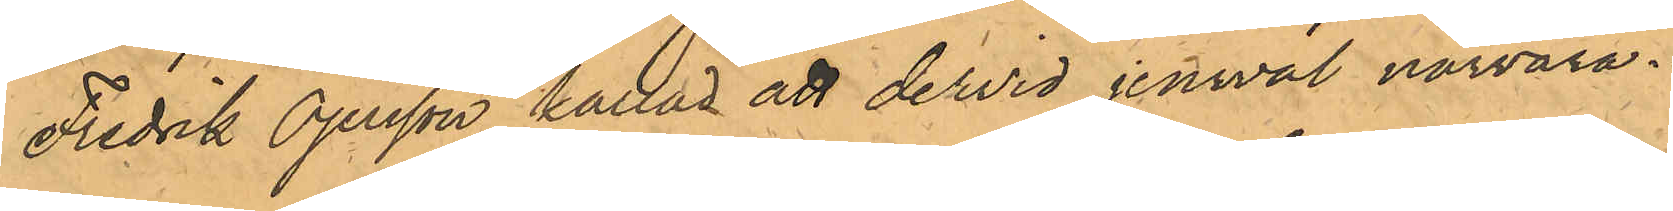Fredrik Öjersson kallad att dervid jemväl närvara.
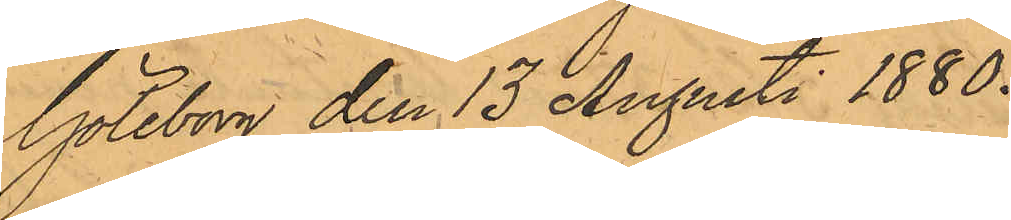Göteborg den 13 Augusti 1880.
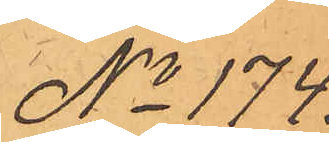No 174.
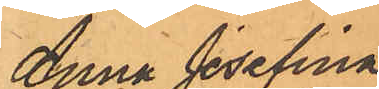Anna Josefina
